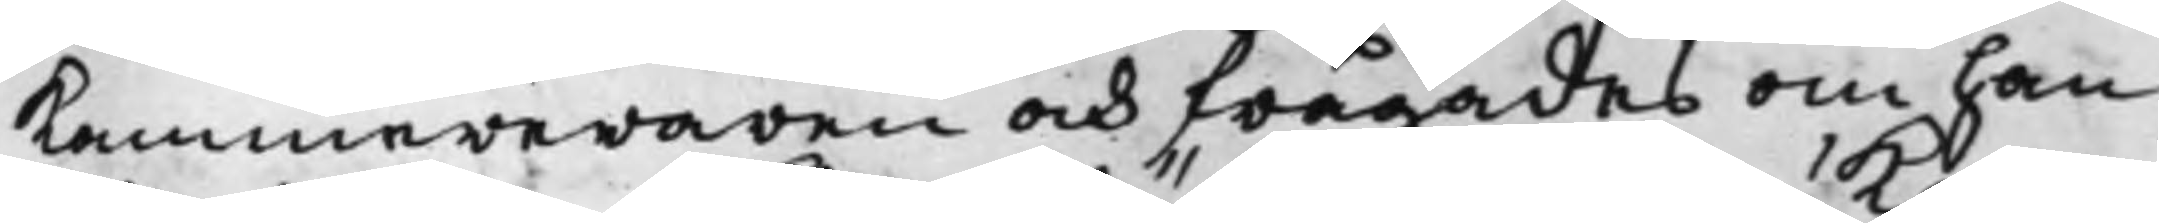Kammereraren och frågades om han
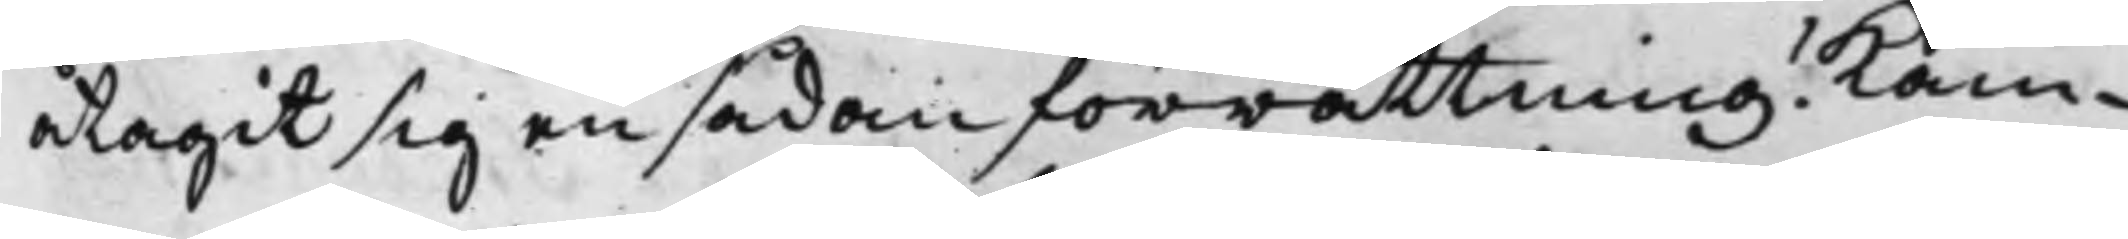åtagit sig en sådan förrättning? Kam¬
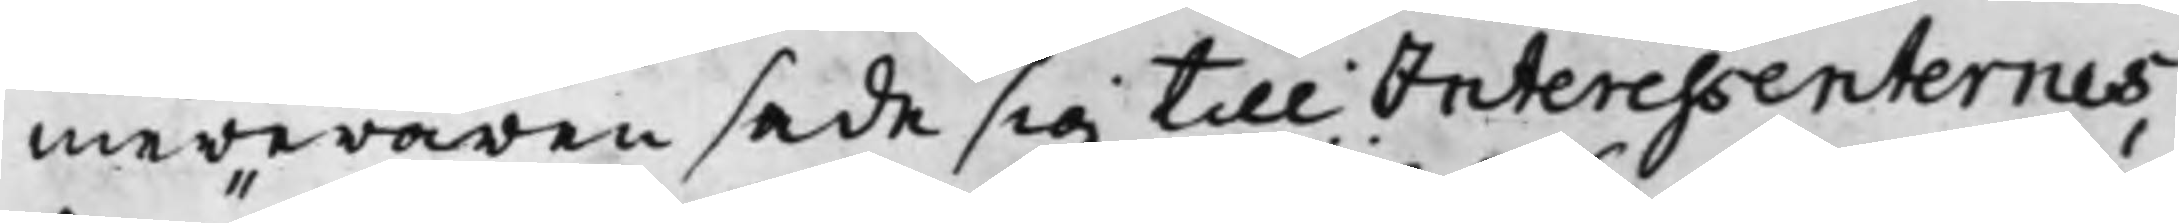mereraren sade sig till Interessenternes
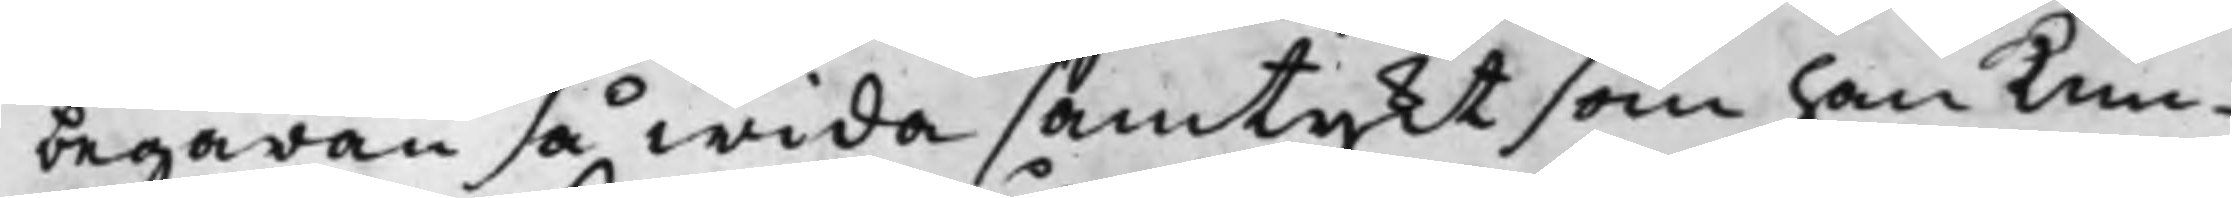begäran så wida samtykt som han kun¬
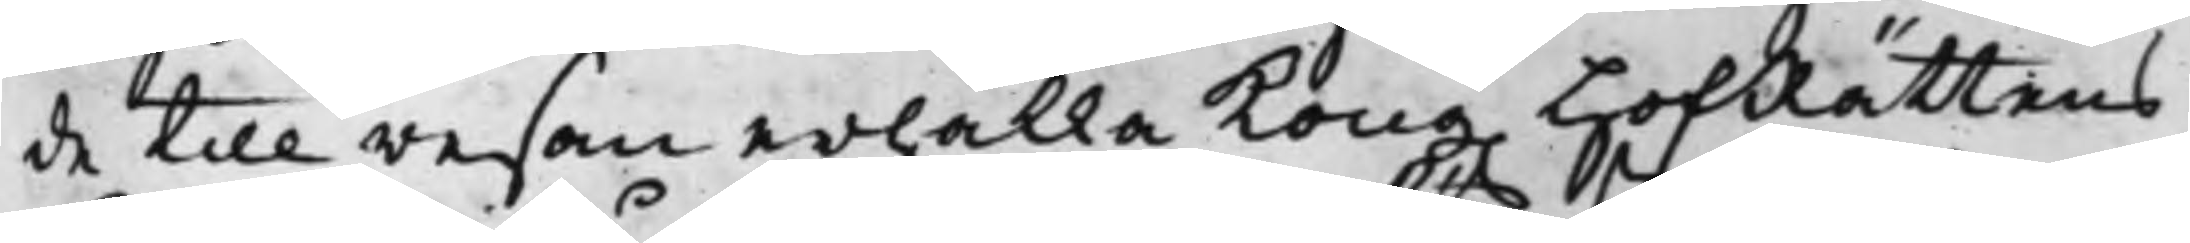de till resan erhålla Kong. HofRättens
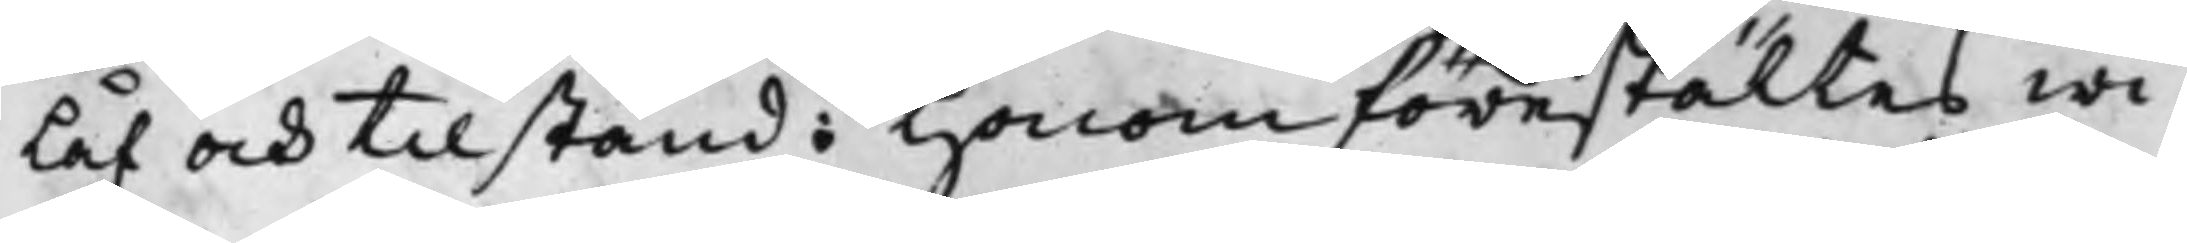Låf och tilstånd: Honom förestältes wi¬
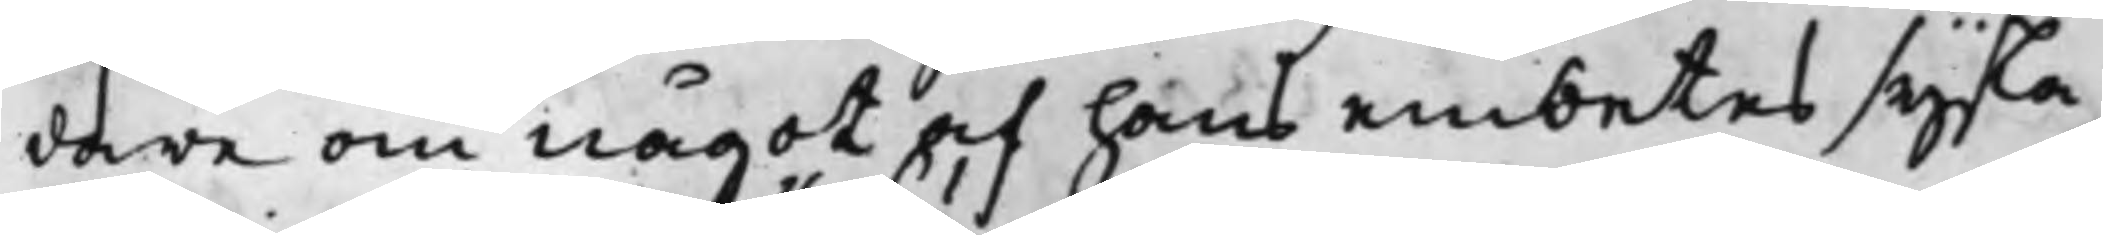dare om något af hans embetes sysla
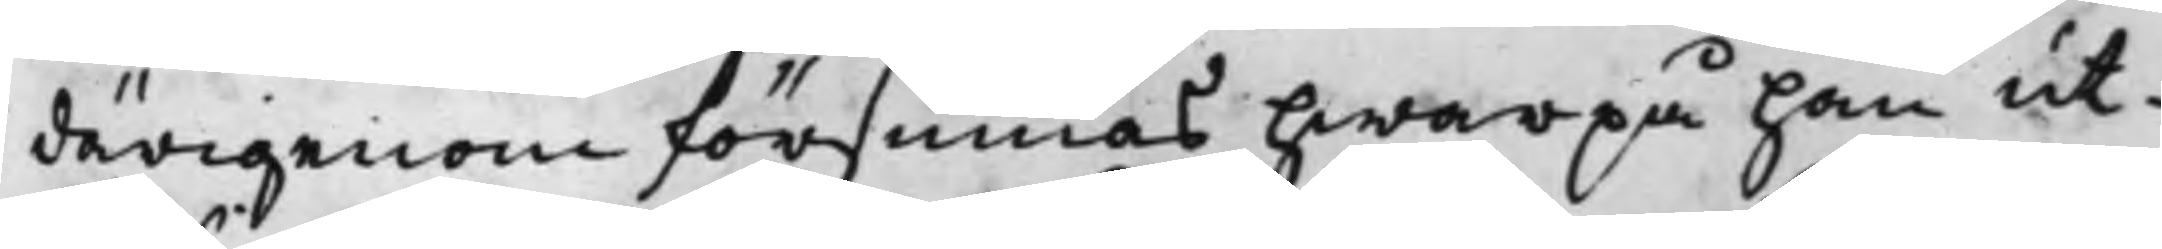därigenom försumas hwarpå han ut¬
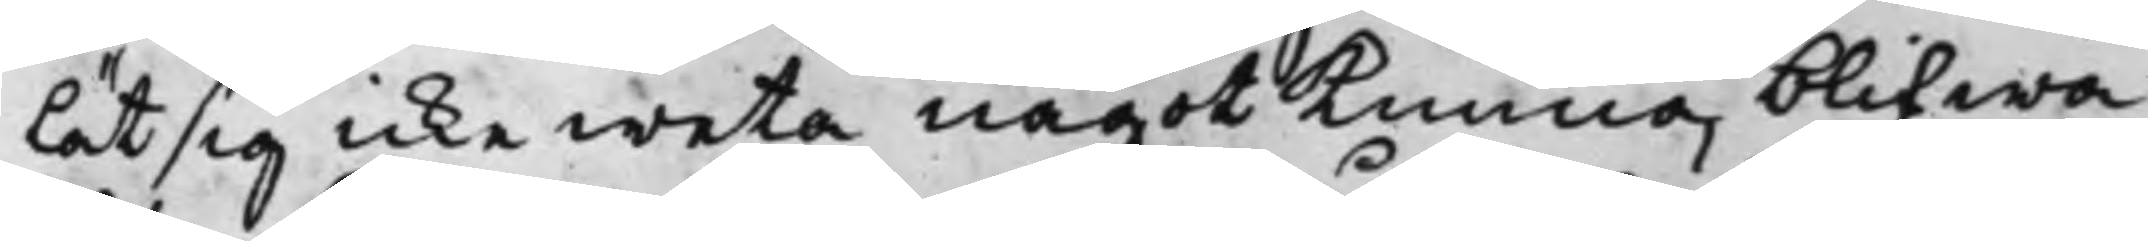lät sig icke weta något kunna blifwa
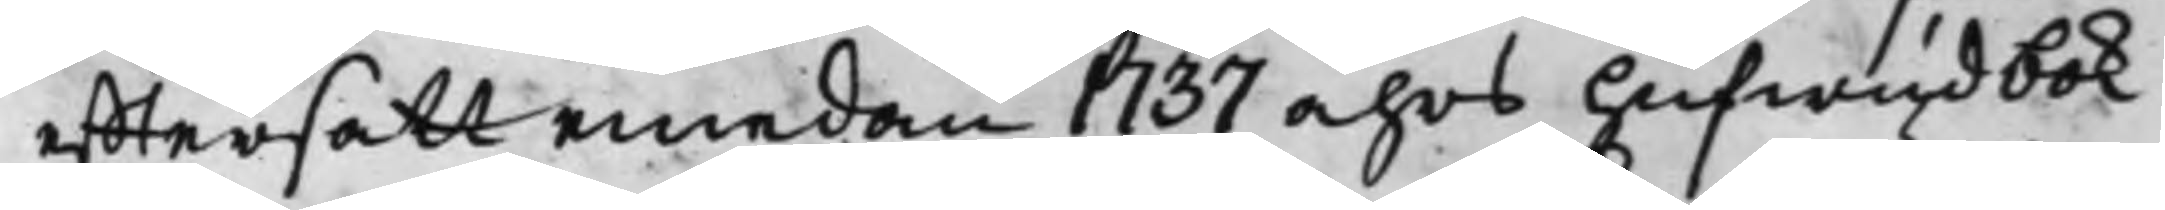efftersatt emedan 1737 åhrs Hufwudbok
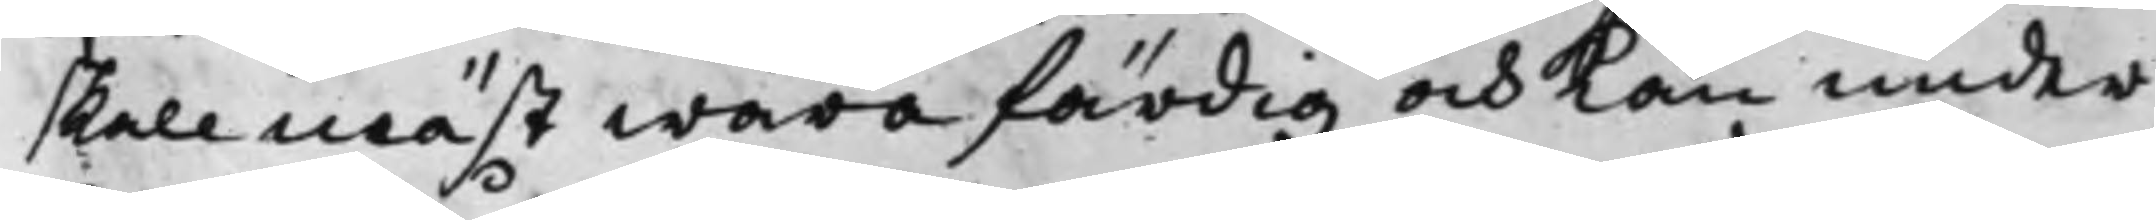skall mäst wara färdig och kan under
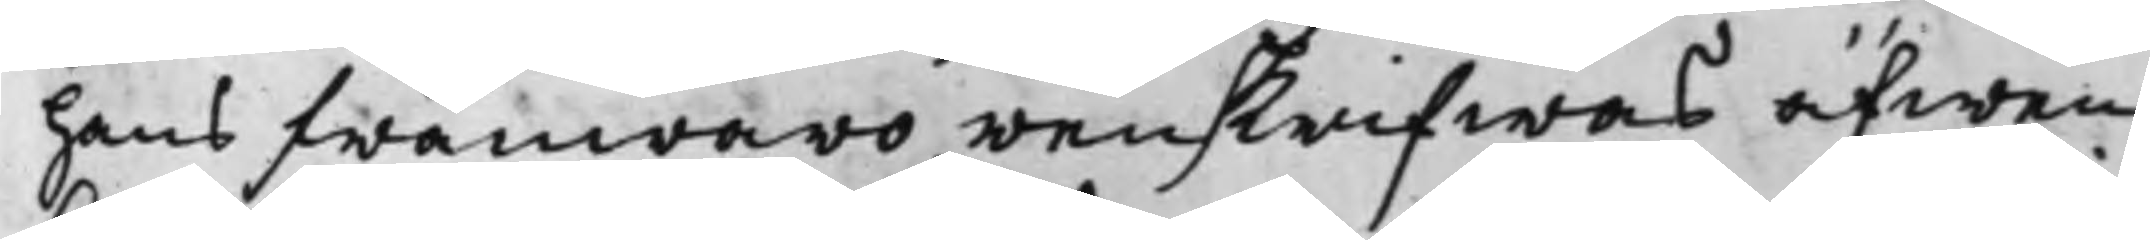hans frånwaro renskrifwas äfwen
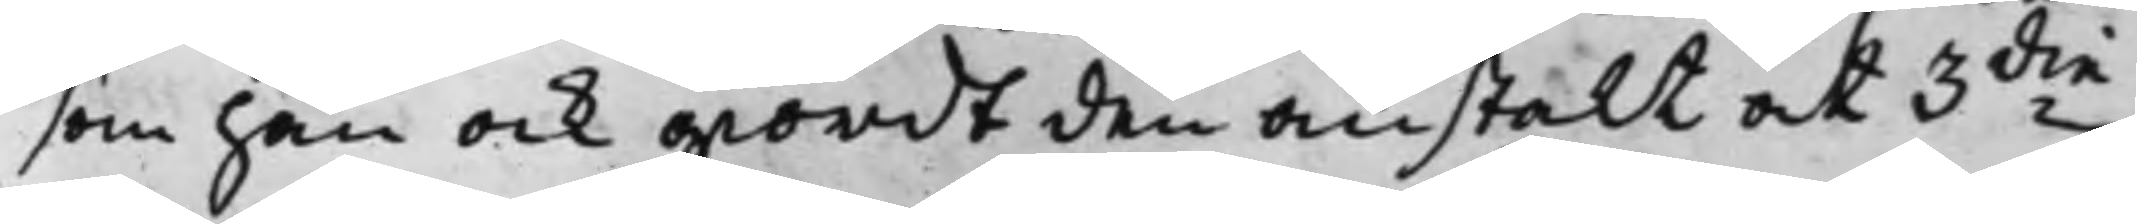som han ock giordt den anstalt at 3die
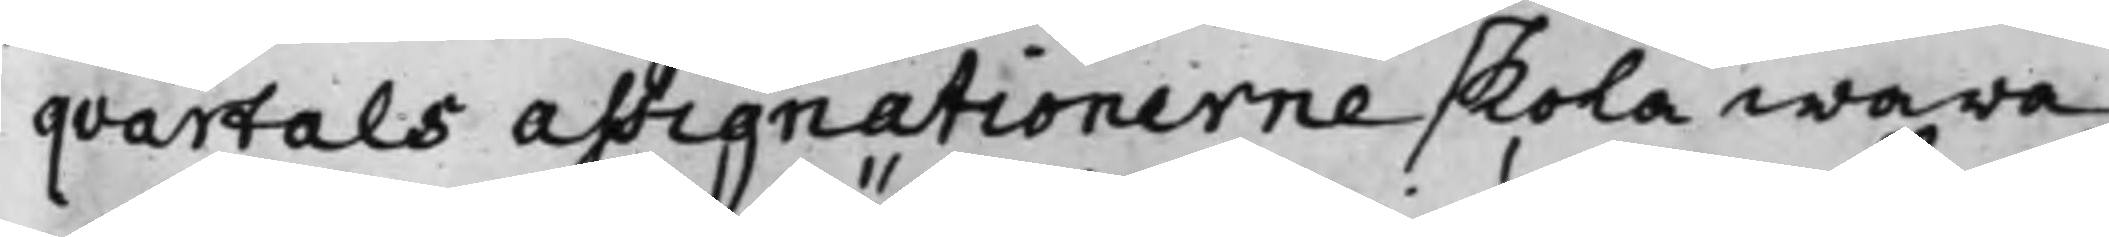qvartals assignationerne skola wara
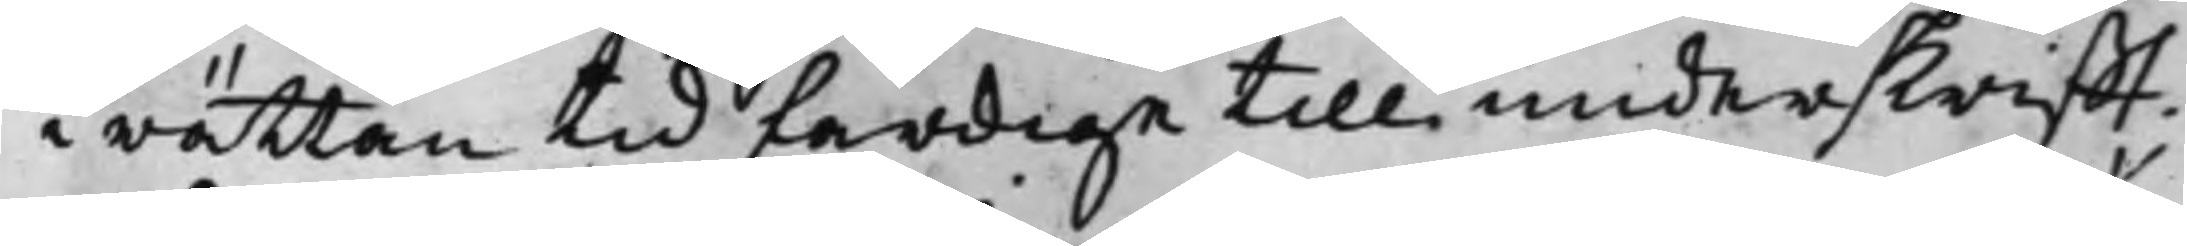i rättan tid färdiga till underskrifft.
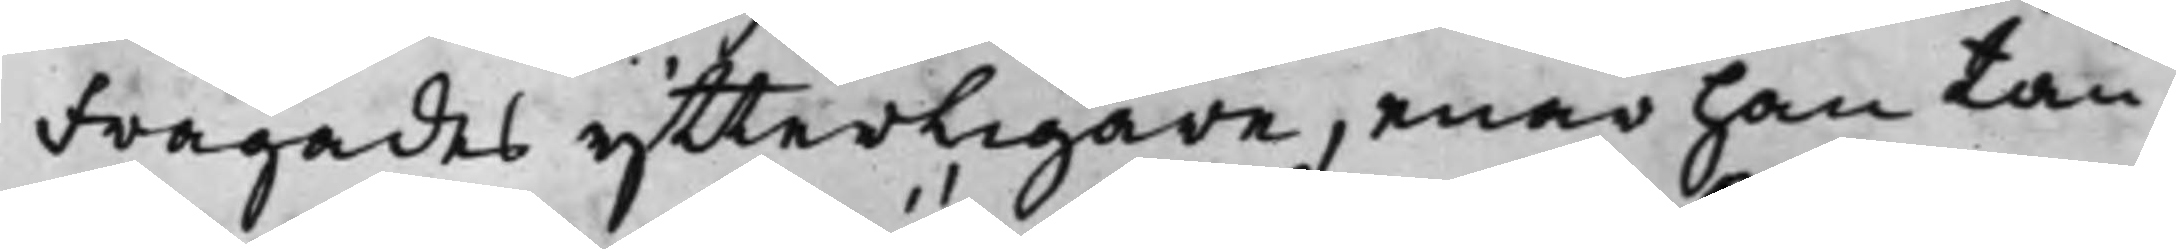Frågades ytterligare, enär han tän¬
